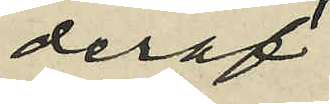deraf
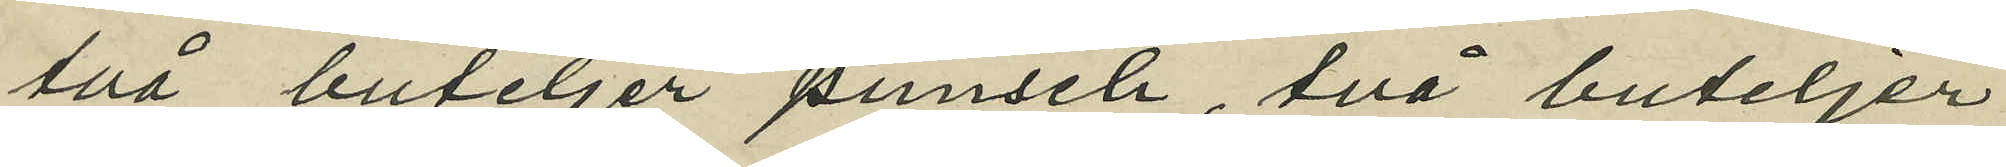två buteljer punsch, två buteljer
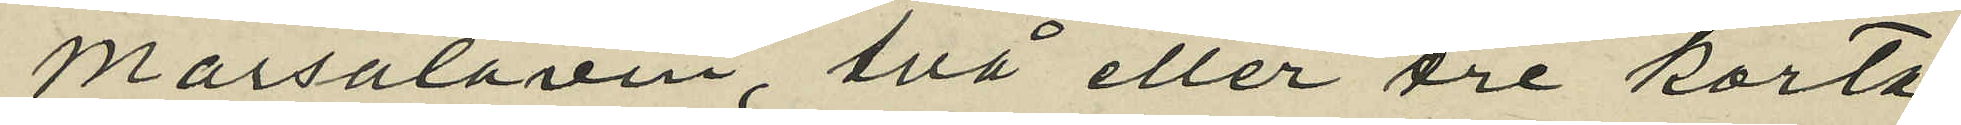Marsalavin, två eller tre korta
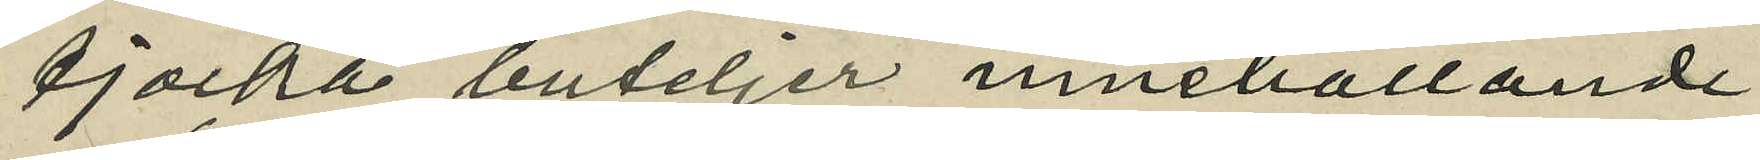tjocka buteljer innehållande
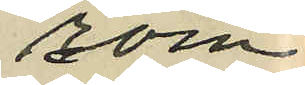rom
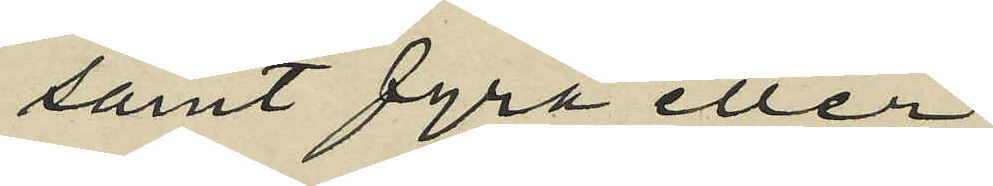samt fyra eller
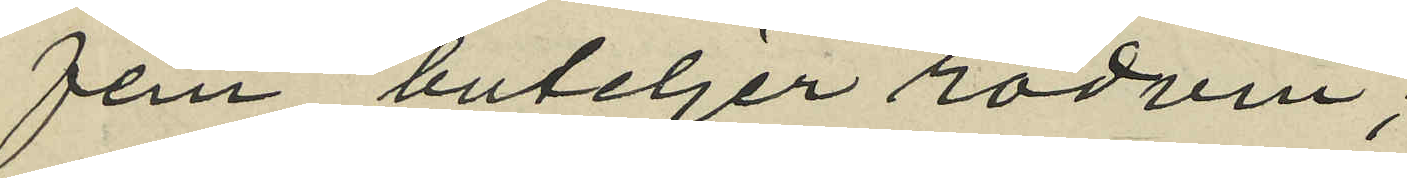fem buteljer rödvin;
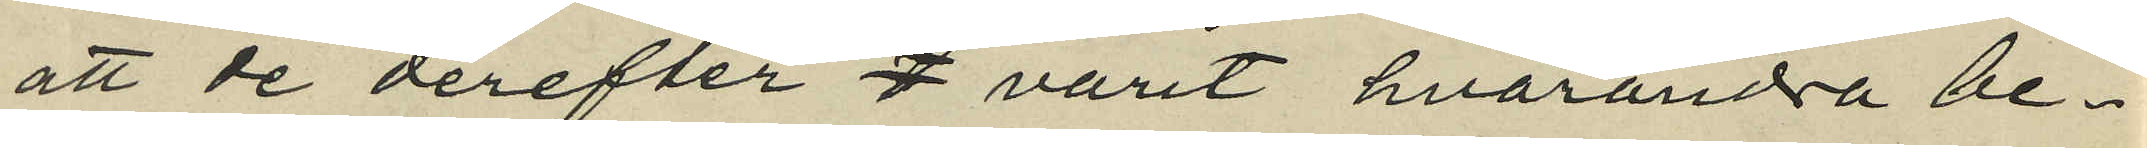att de derefter d varit hvarandra be¬
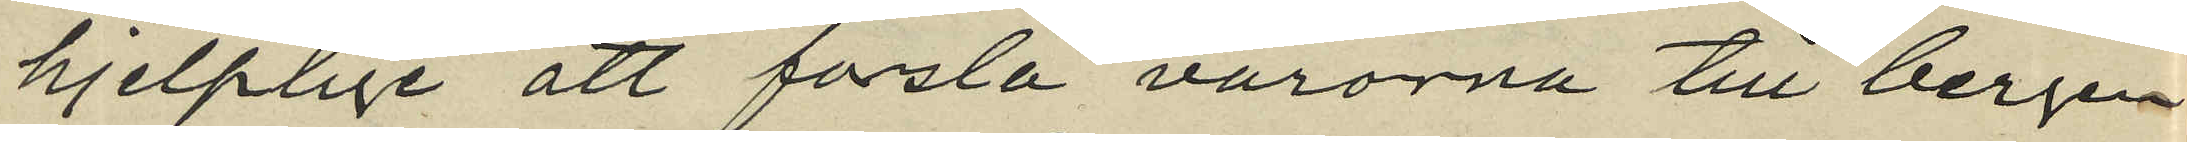hjelplige att forsla varorna till bergen¬
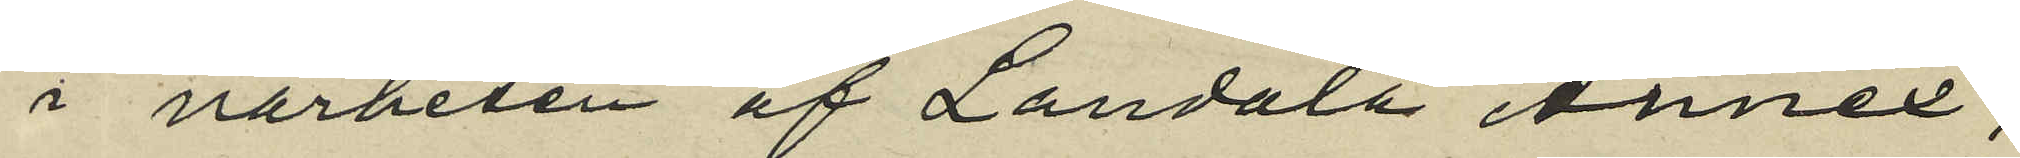i närheten af Landala Annex,
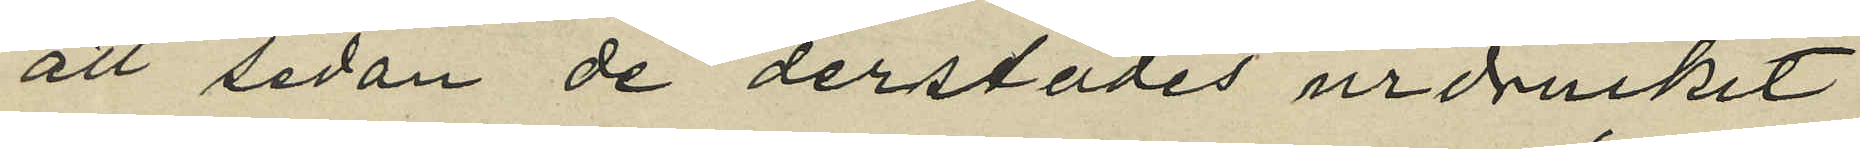att sedan de derstädes urdruckit
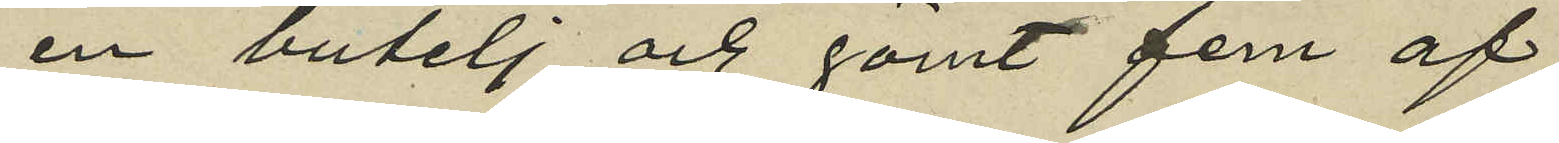en butelj och gömt fem af
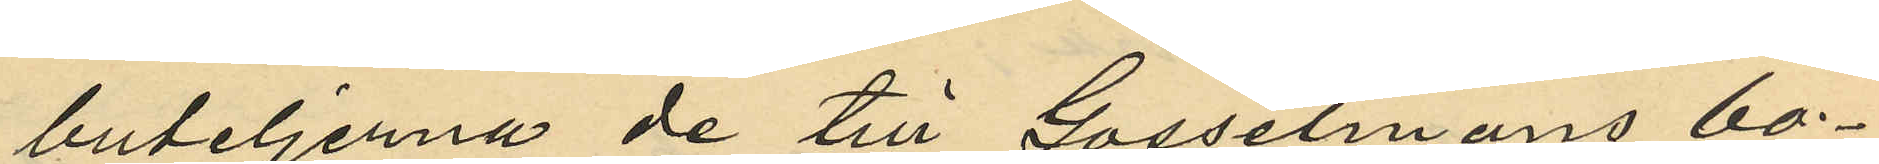buteljerna de till Gosselmans bo¬
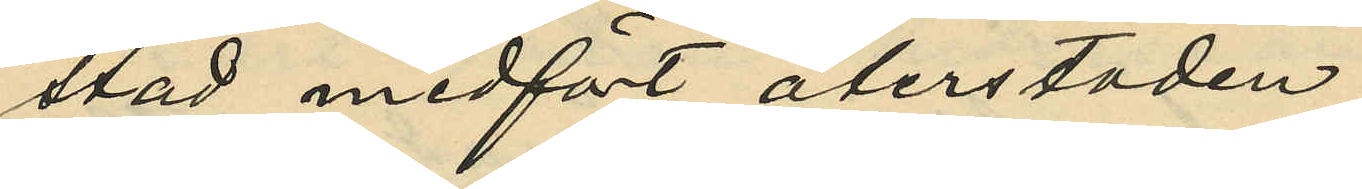stad medfört återstoden;
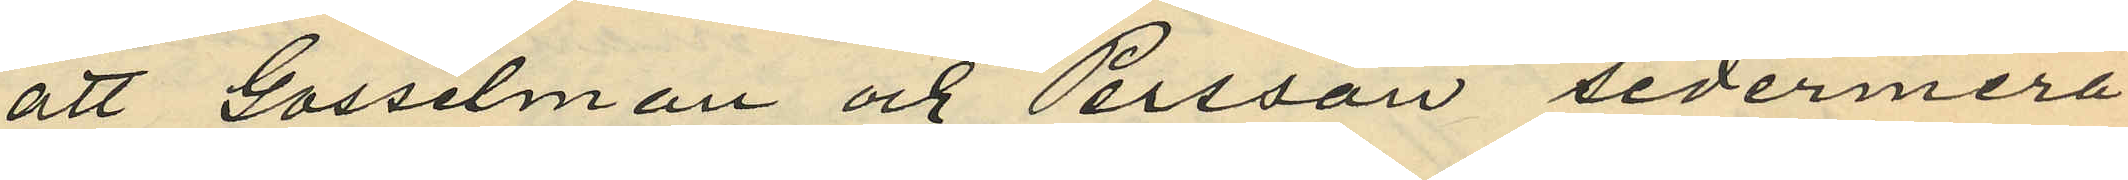att Gosselman och Persson sedermera
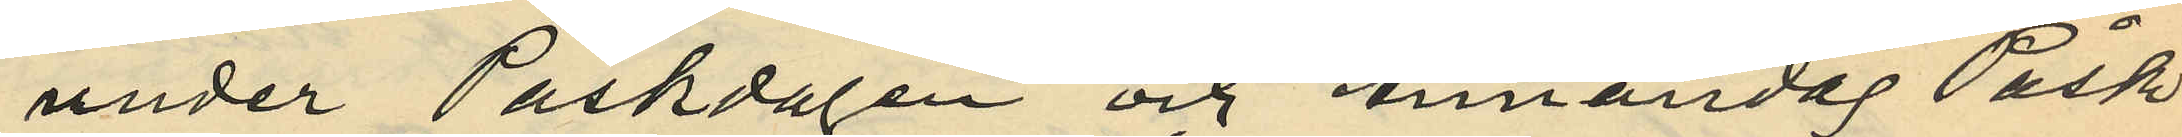under Påskdagen och Annandag Påsk
